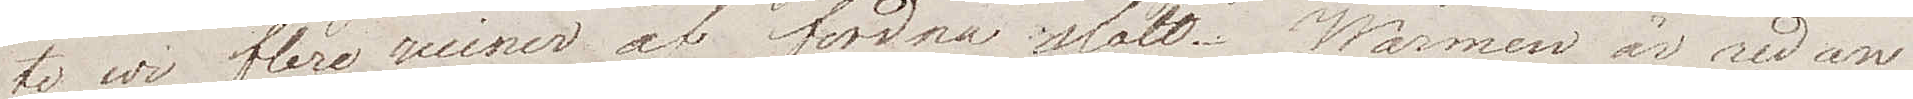te vi flere ruiner af fordna slott. Wärmen är redan
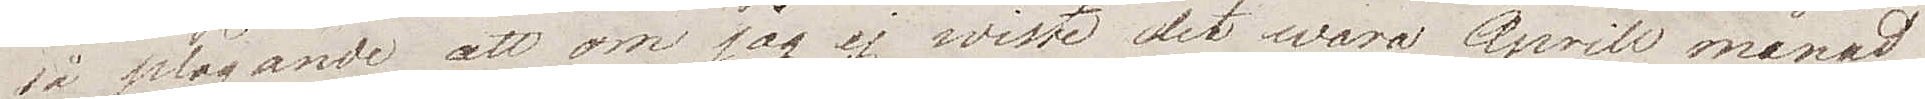så plågande att om jag ej wisste det vara Aprill månad
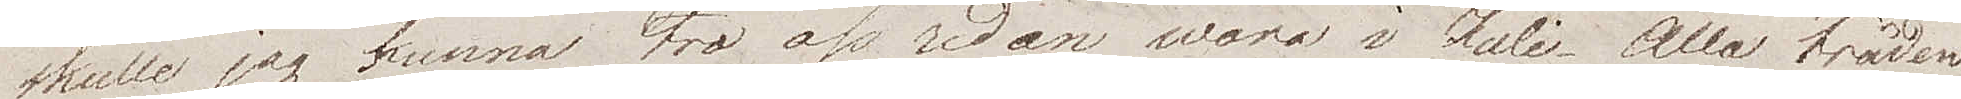skulle jag kunna tro oss redan vara i Juli. Alla träden
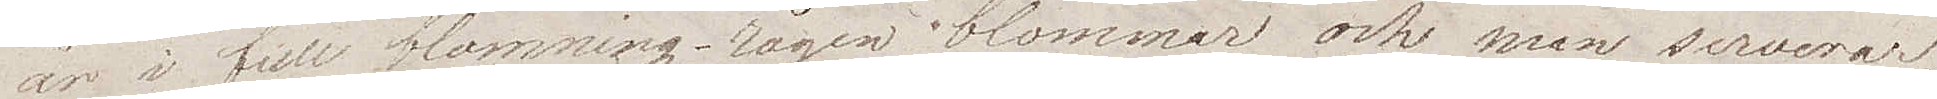är i full blomning – rågen blommar och man serverar
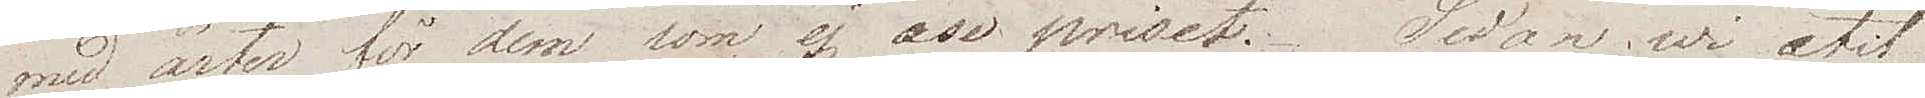små ärter för dem som ej åse priset. Sedan wi ätit
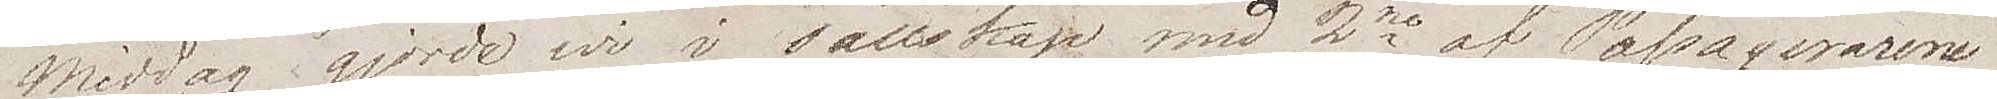middag gjorde vi i sällskap med 2ne af Passagerarne
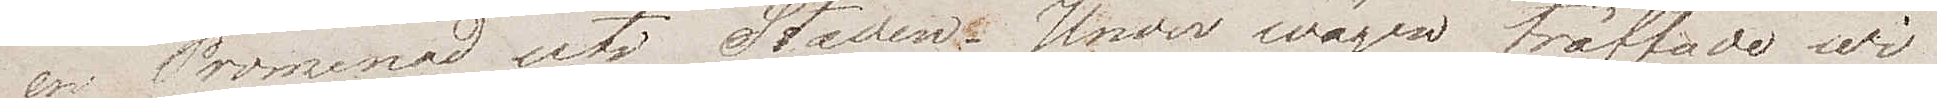en Promenad uti Staden. Under wägen träffade wi
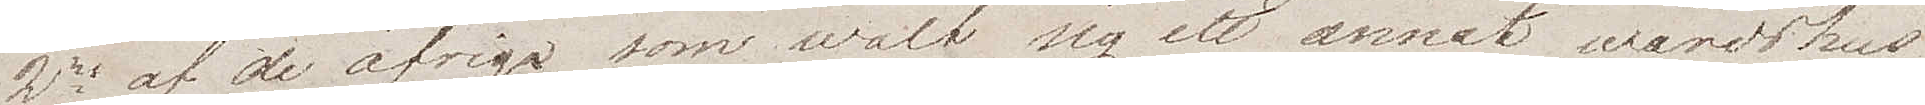2ne af de öfriga, som walt sig ett annat wärdshus
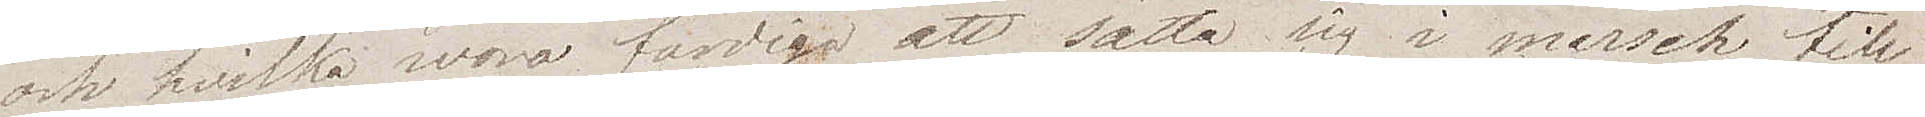och hvilka voro färdiga att sätta sig i marsch till
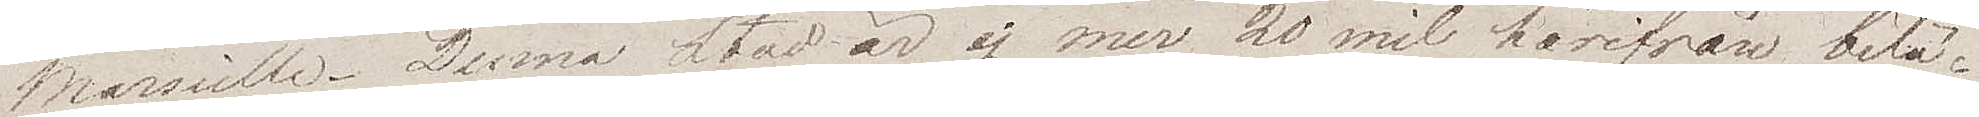Marseille. Denna stad är ej mer 20 mil härifrån belä¬
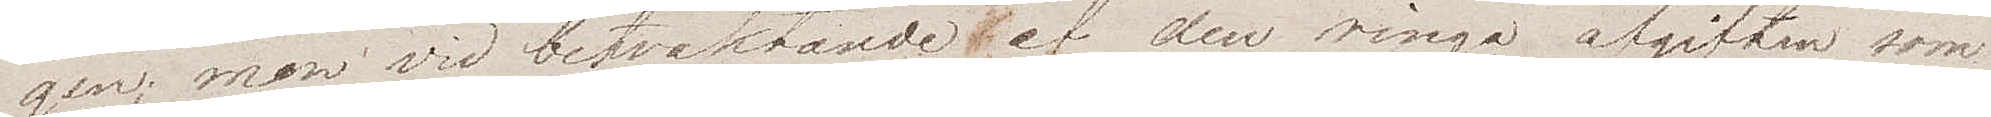gen; men vid betraktande av den ringa afgiften som
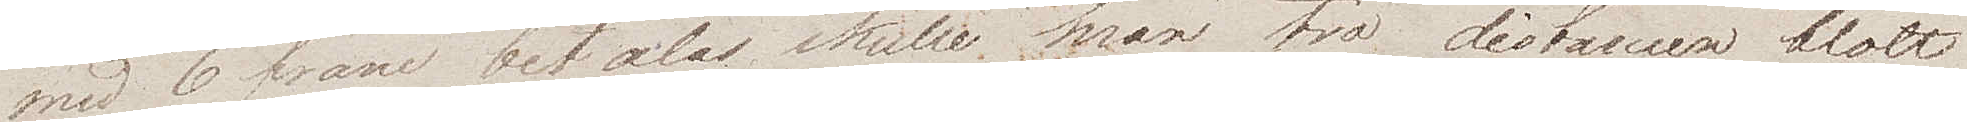med 6 franc betalas skulle man tro distansen blott
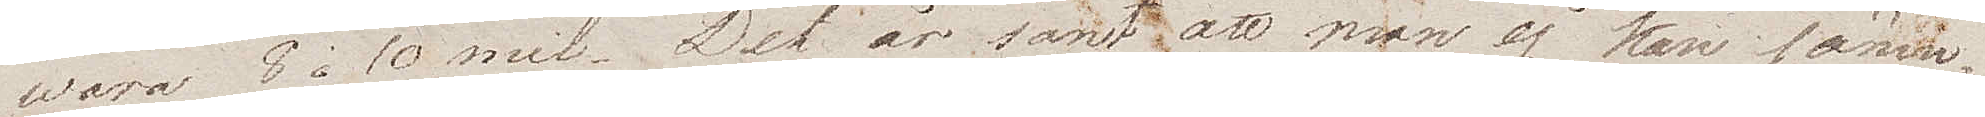vara 8 à 10 mil. Det är sant, att man ej kan jäm¬
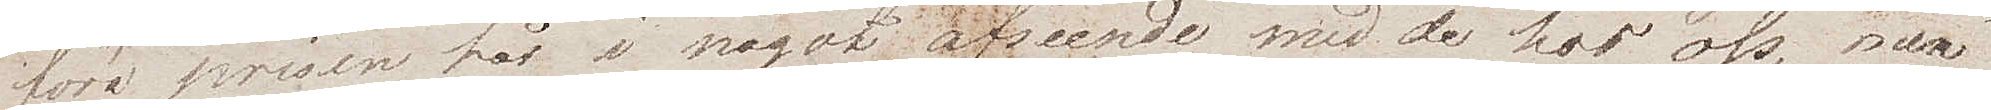föra prisen här i något avseende med de hos oss, men
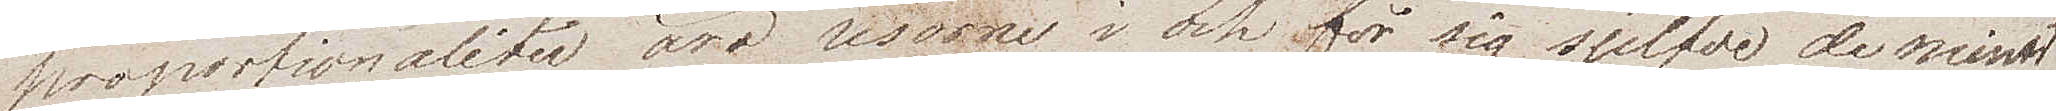proportionaliter äro resorne i och för sig sjelfve, de minst
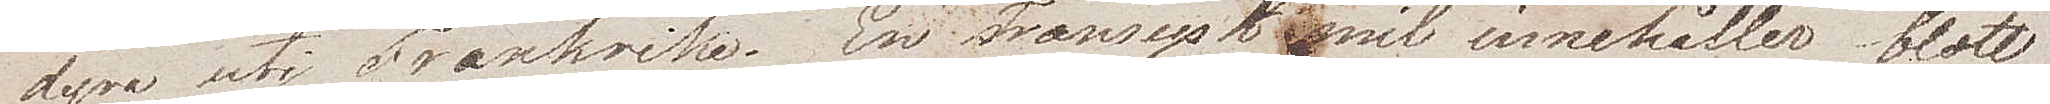dyra uti Frankrike. En Fransysk mil innehåller blott
